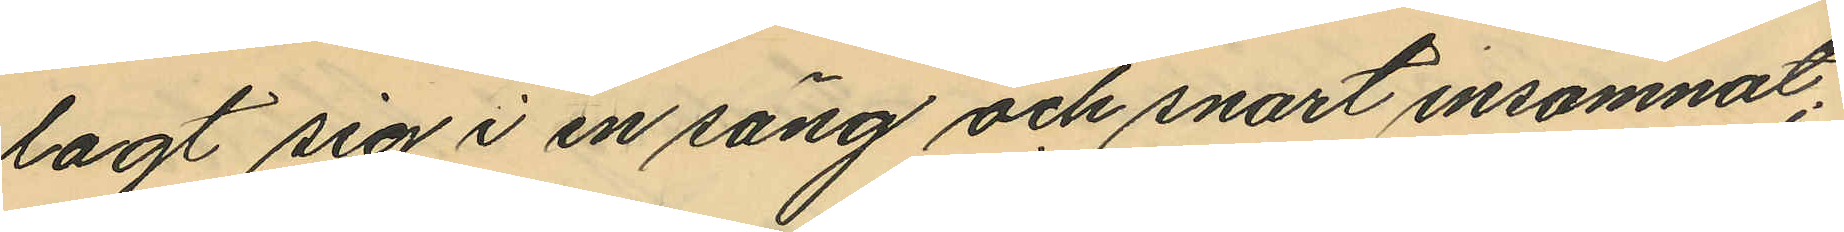lagt sig i en säng och snart insomnat;
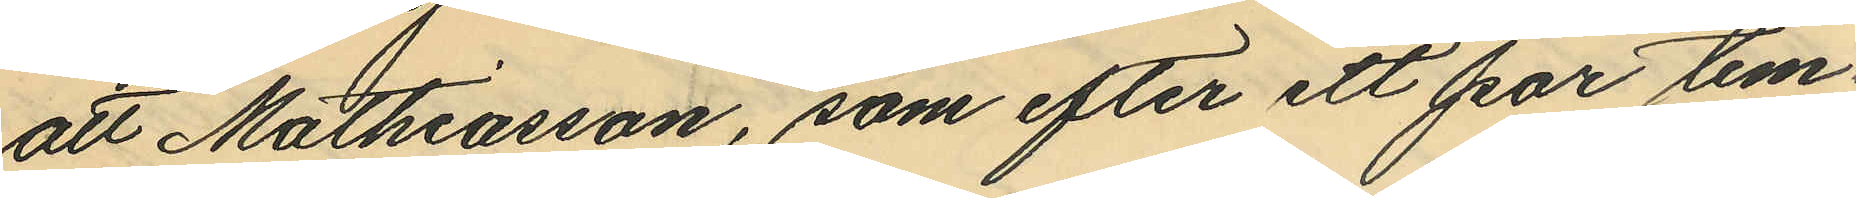att Mathiasson, som efter ett par tim¬
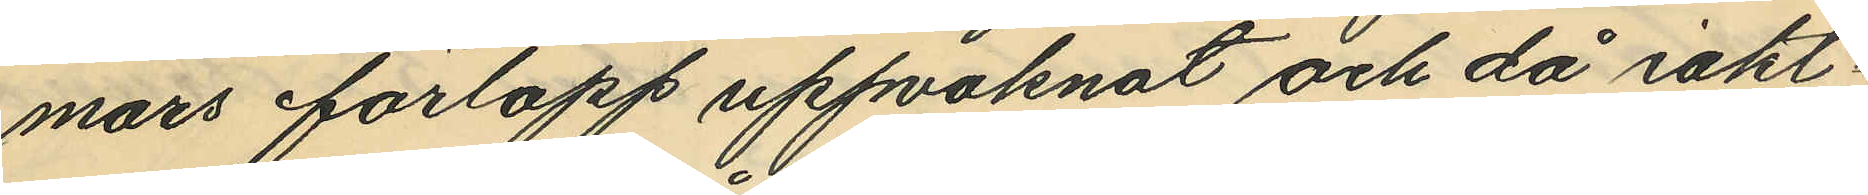mars förlopp uppvaknat och då iakt¬
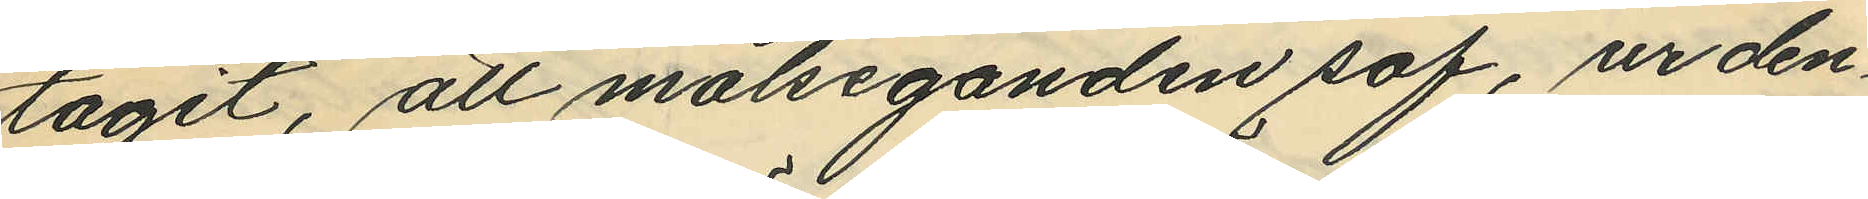tagit, att målseganden sof, ur den¬
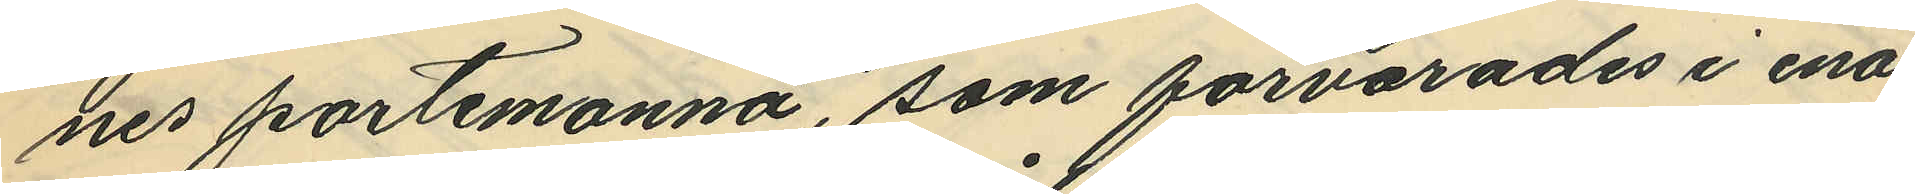nes portmonnä, som förvarades i ena
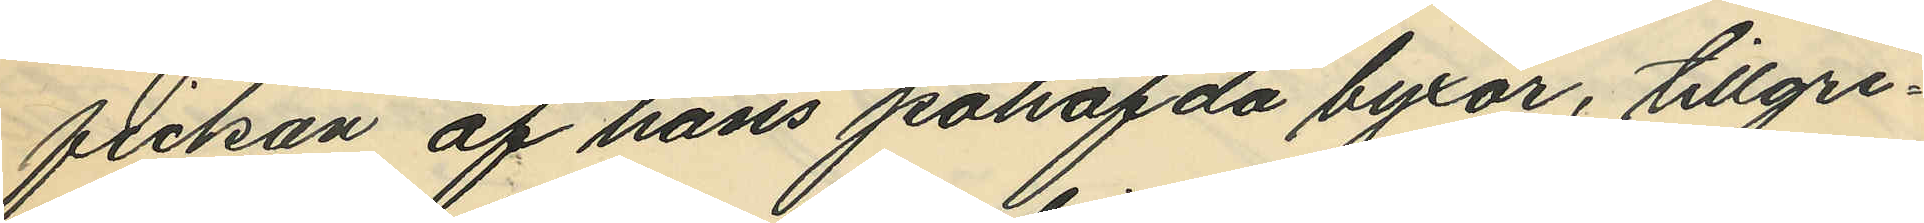fickan af hans påhafda byxor, tillgri¬
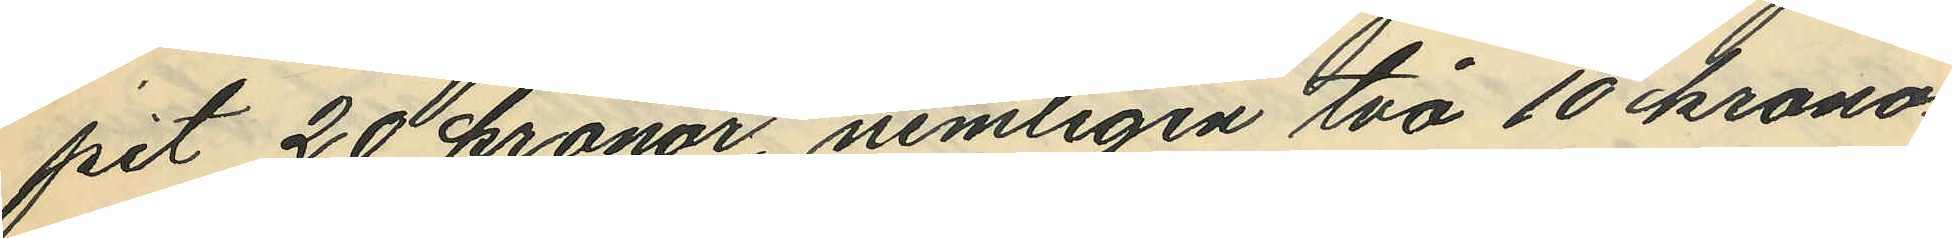pit 20 kronor, nemligen två 10 krono¬
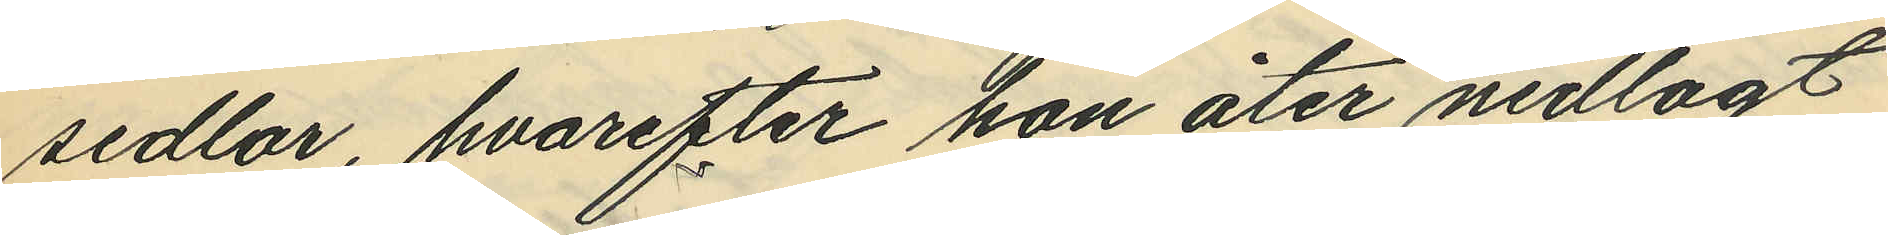sedlar, hvarefter hon åter nedlagt
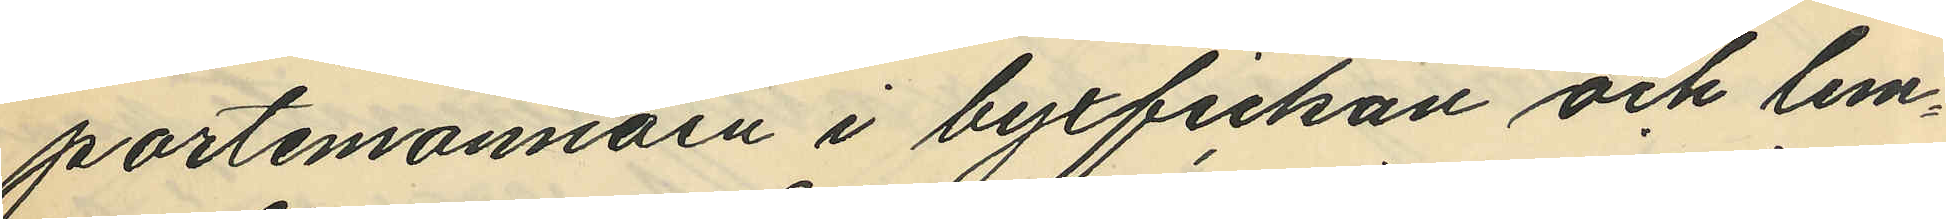portmonnäen i byxfickan och lem¬
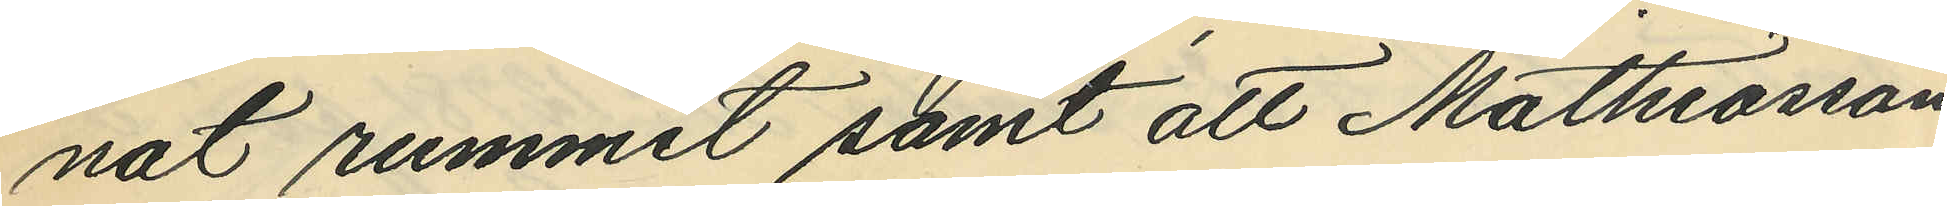nat rummet samt att Mathiasson
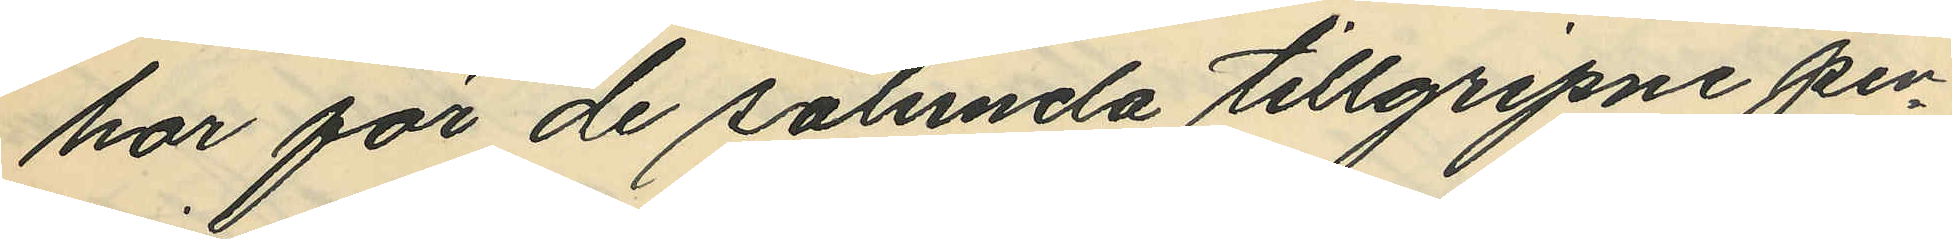har för de sålunda tillgripne pen¬
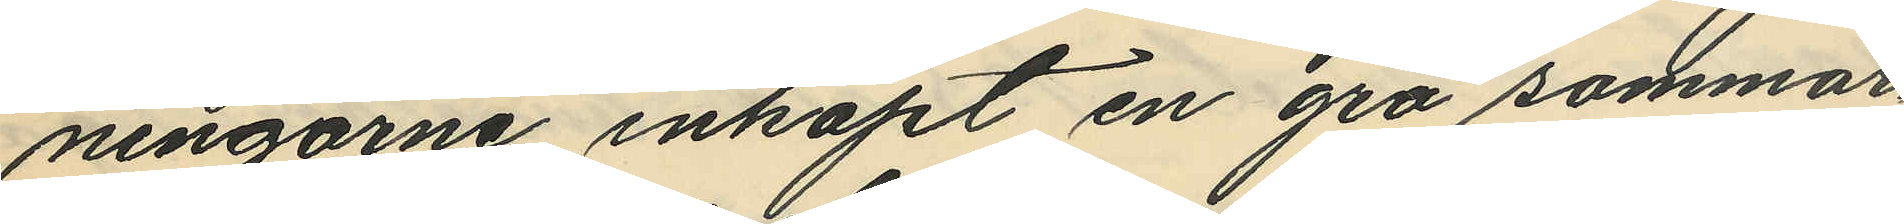ningarne inköpt en grå sommar¬
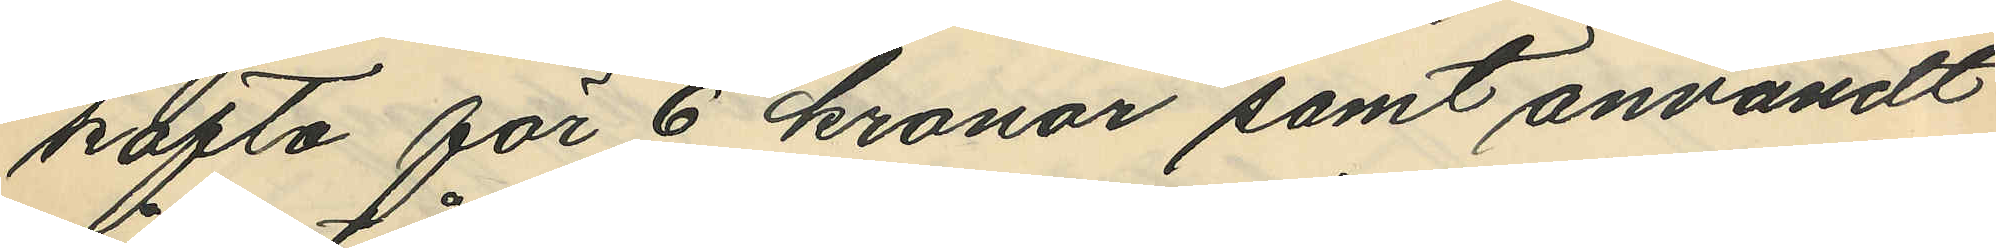kofta för 6 kronor samt användt
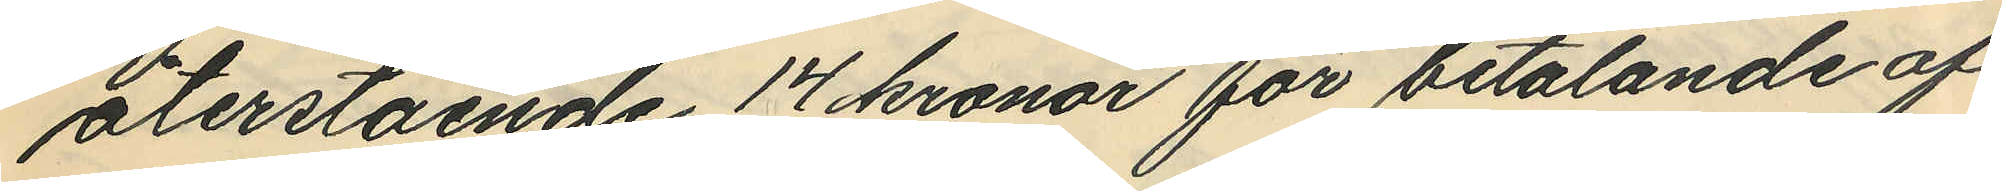återstående 17 kronor för betalande af
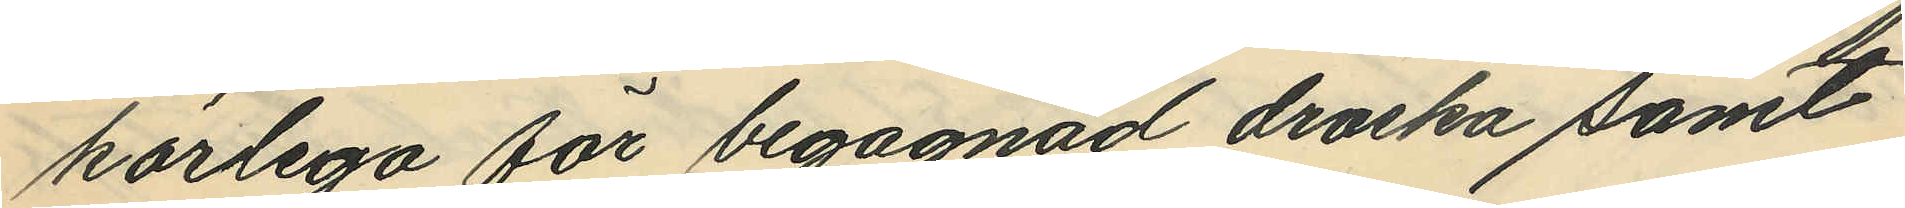körlega för begagnad droska samt
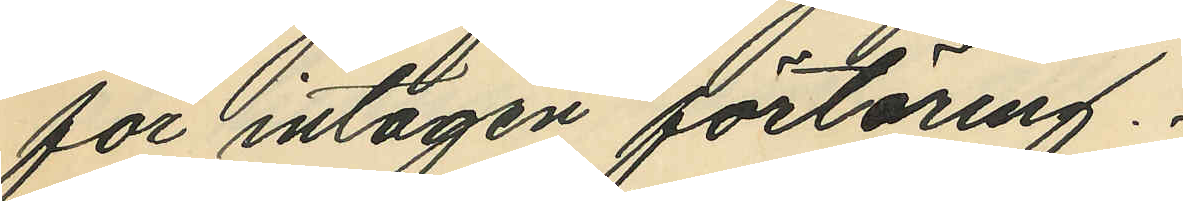för intagen förtäring.
